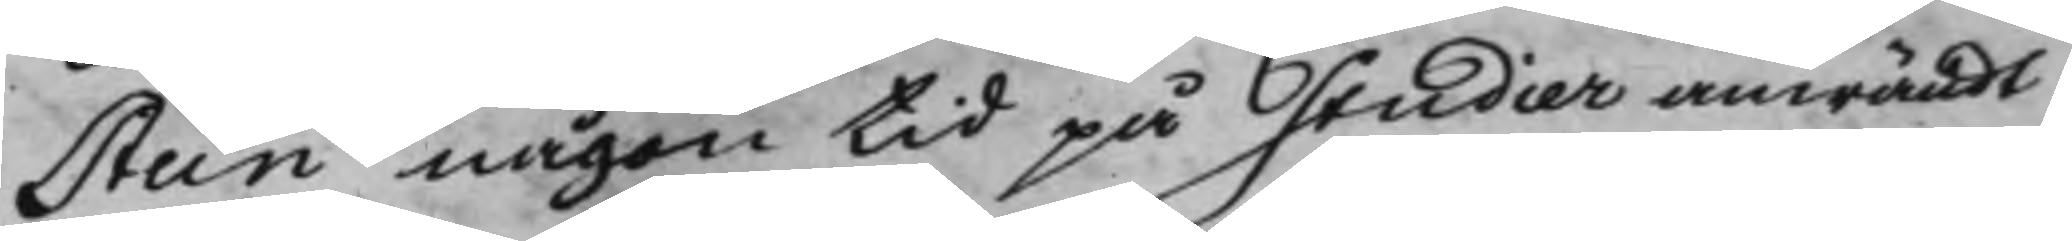stein någon tid på Studier anwändt
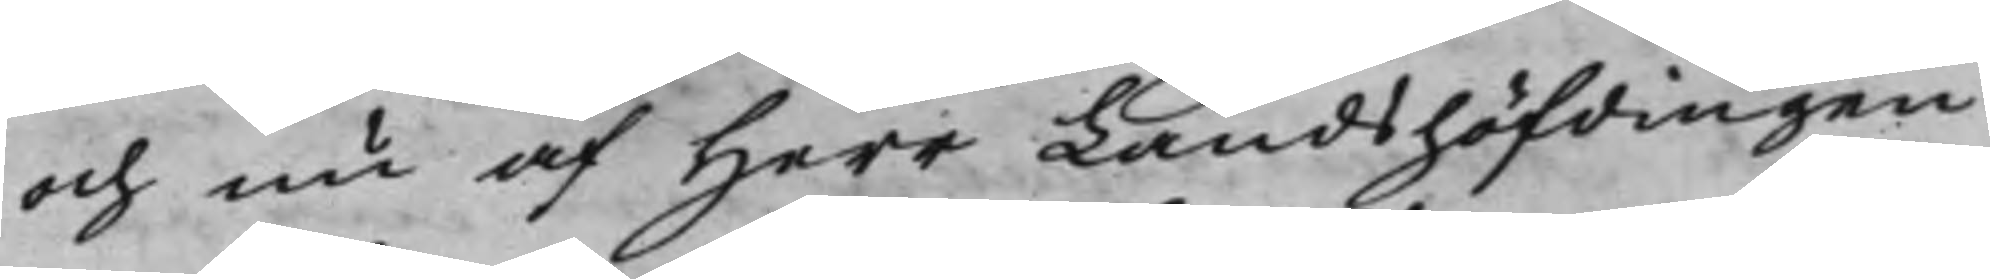och nu af Herr Landshöfdingen
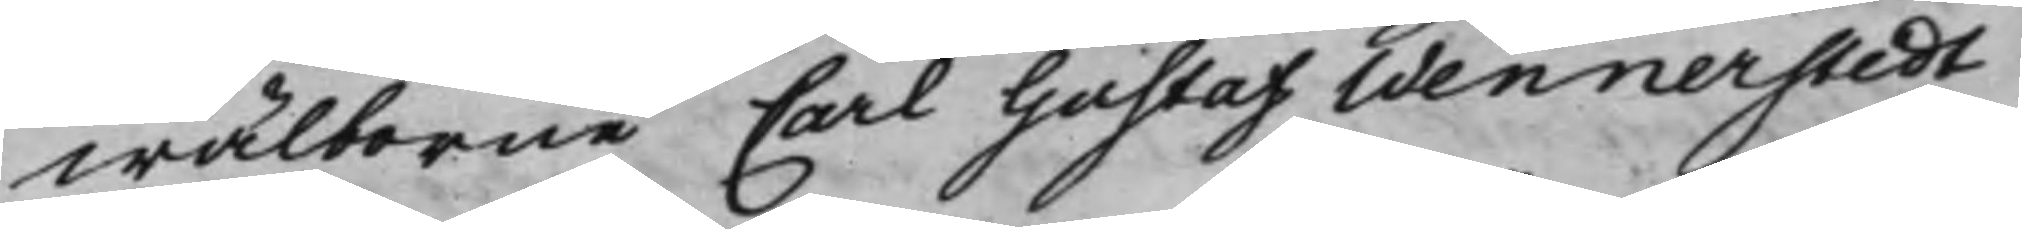wälborne Carl Gustaf Wennerstedt
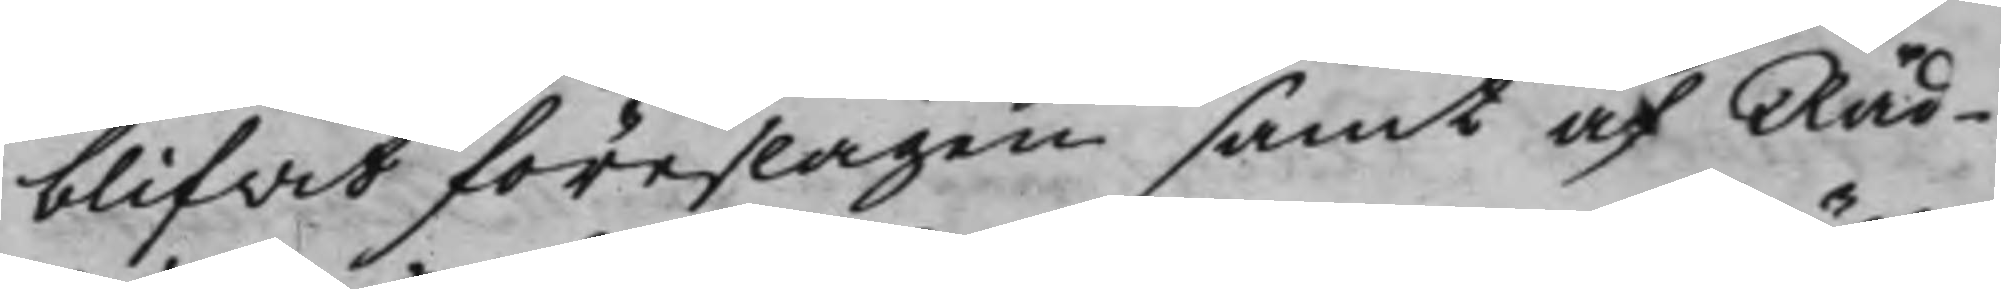blifvit föreslagen samt af Råd¬
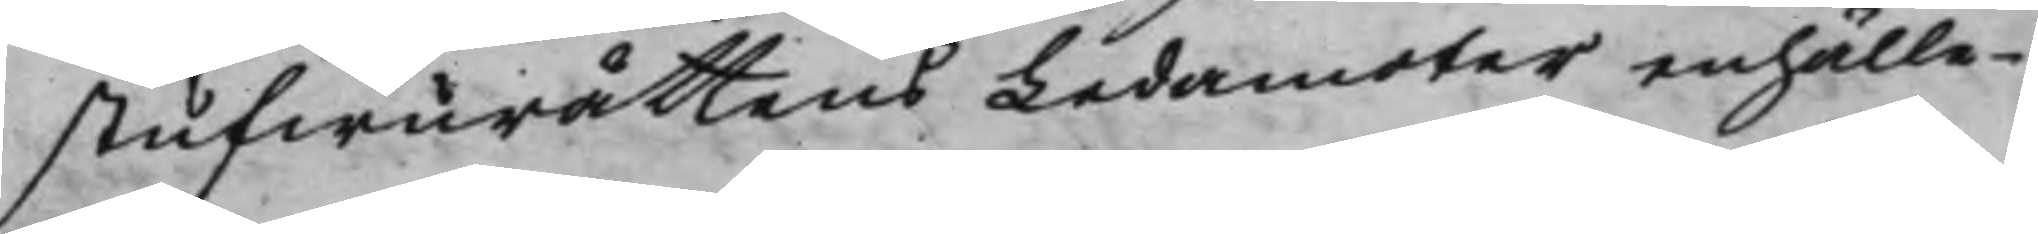stufwurättens Ledamöter enhälle¬
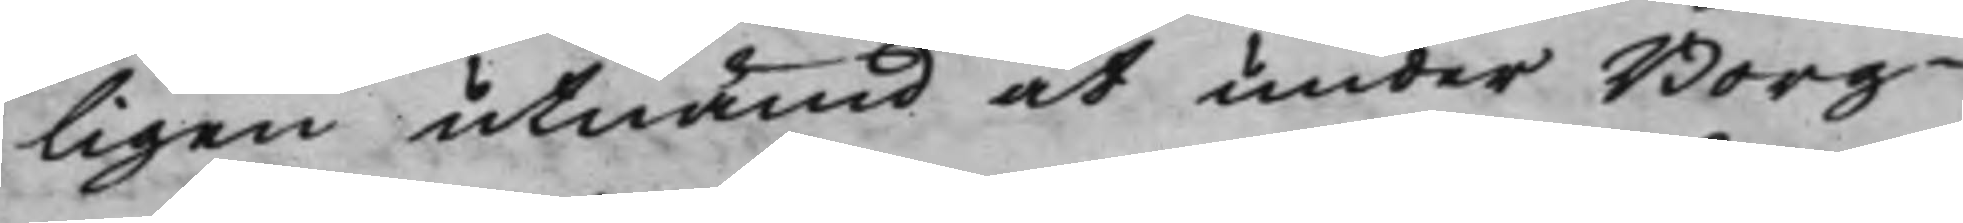ligen utnämd at under Borg¬
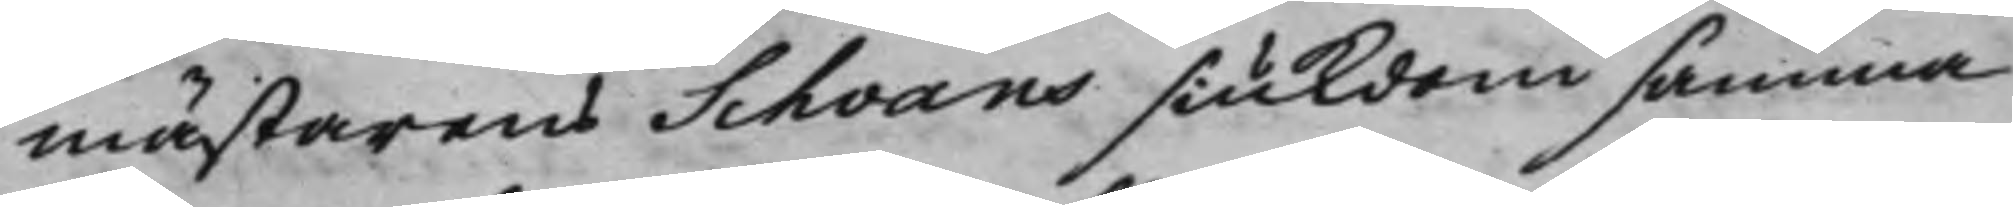mästarens Schvans siukdom samma
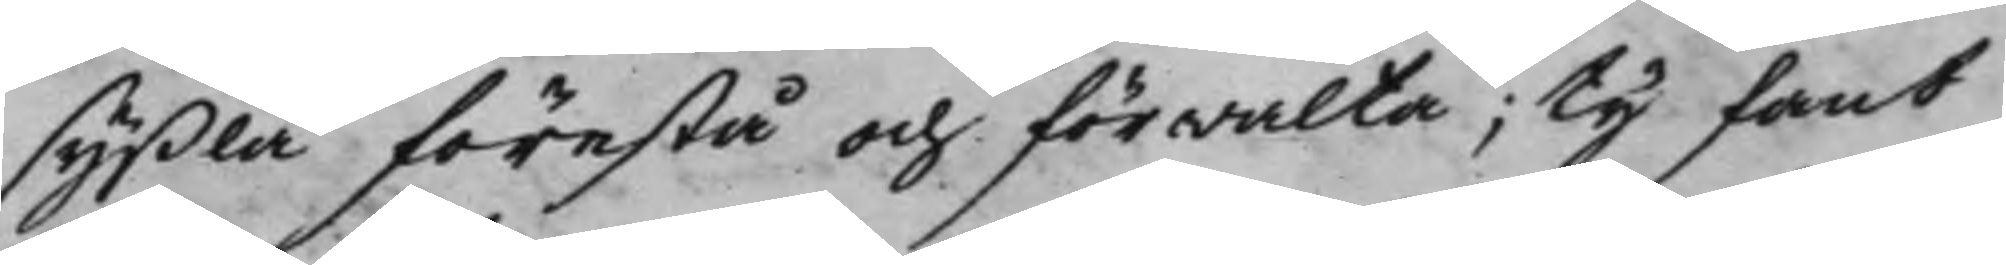syßla förestå och förwalta; Ty fant
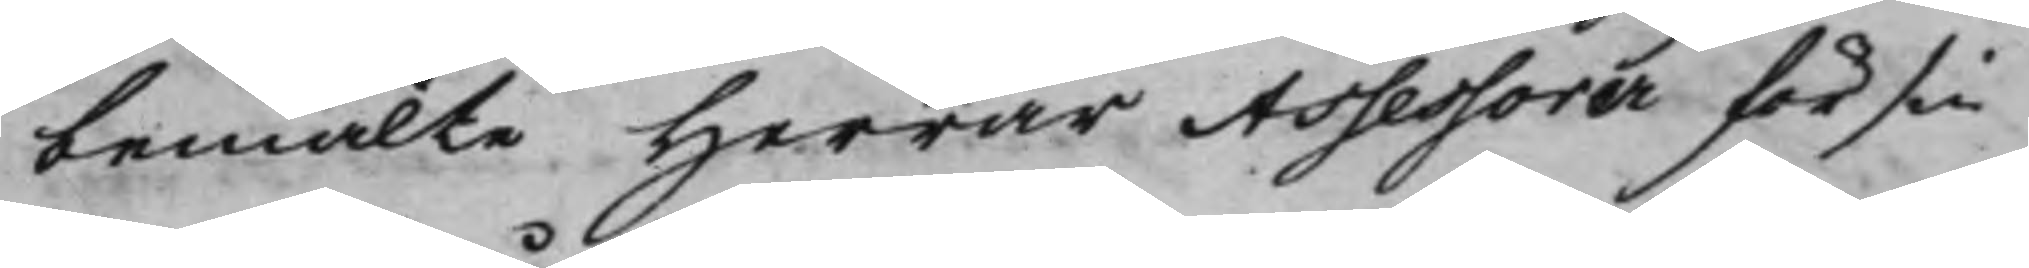bemälte Herrar Assessorer för sin
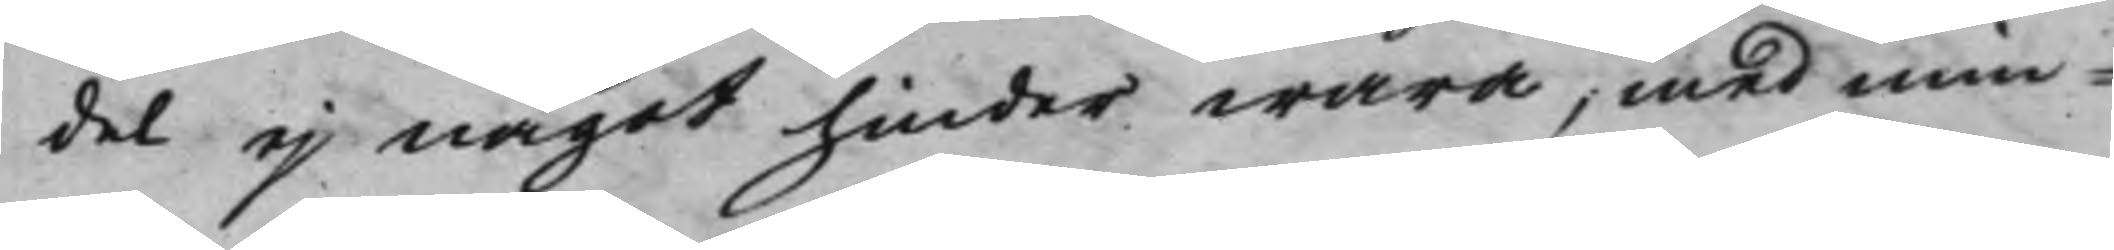del ej något hinder wara, med min¬
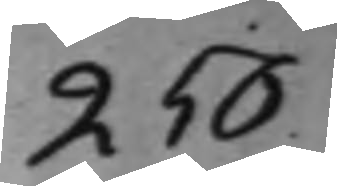256.
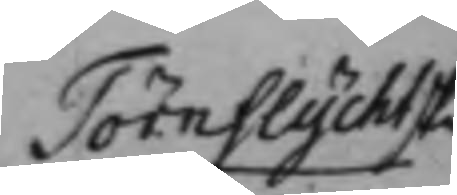Törnflychtske
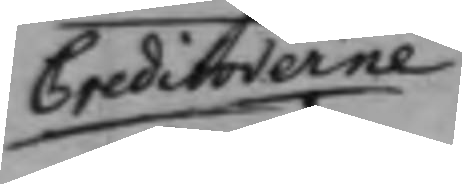Creditorerne
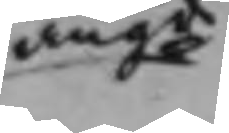angde
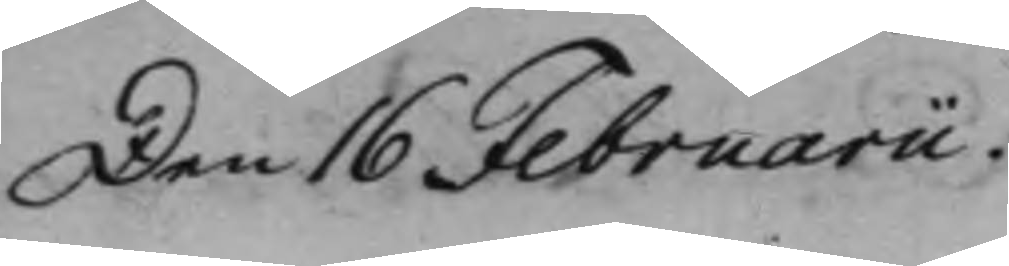Den 16 Februarii.
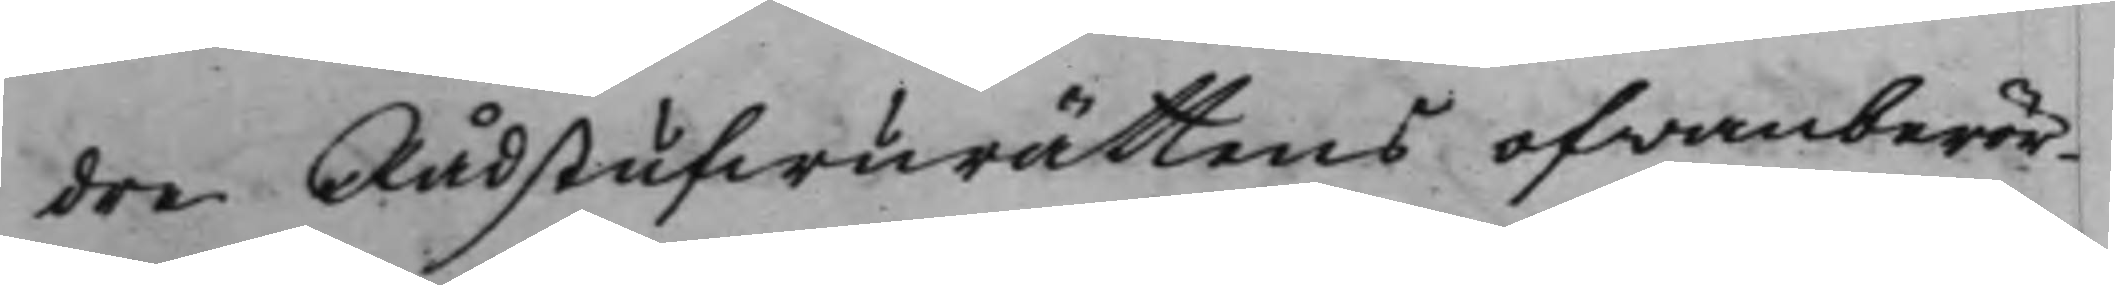dre Rådstufwurättens ofwanberör¬
